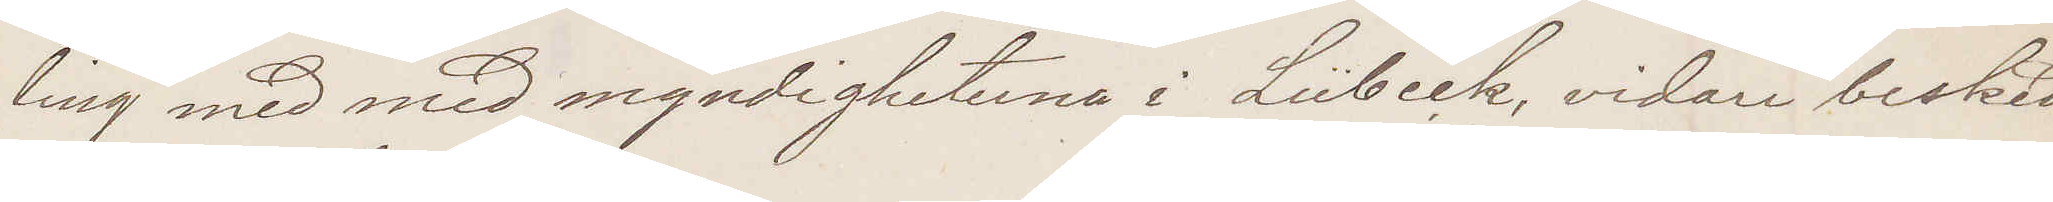ling med med myndigheterna i Lübeck, vidare besked
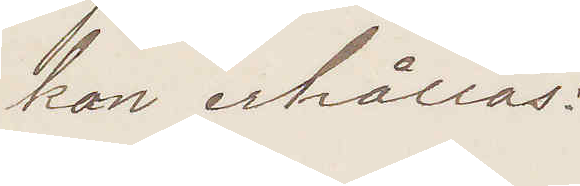kan erhållas:
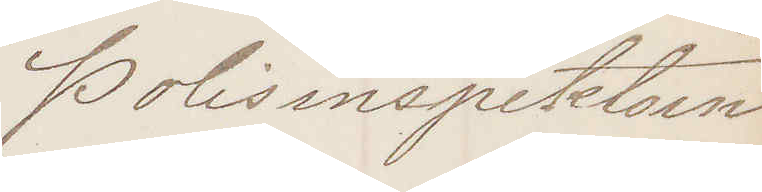Polisinspektorn
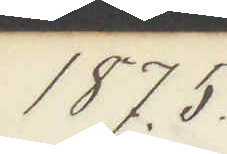1875.
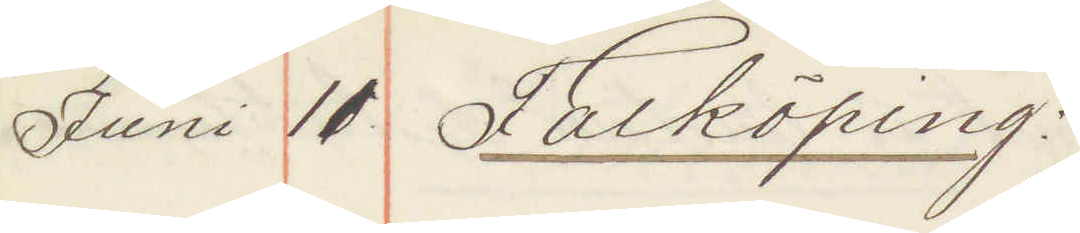Juni 11 Falköping:
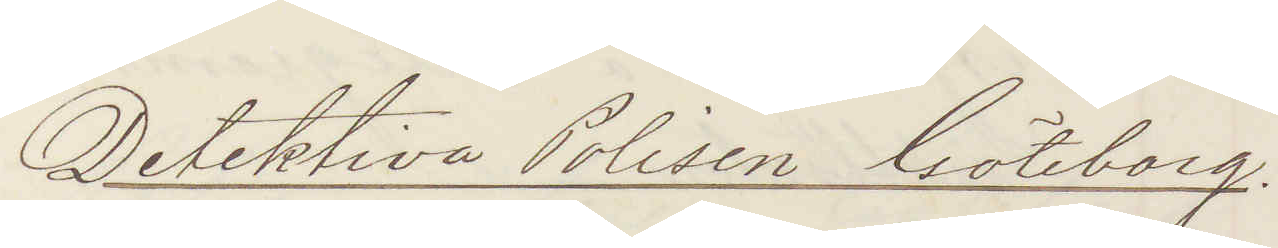Detektiva Polisen Göteborg.
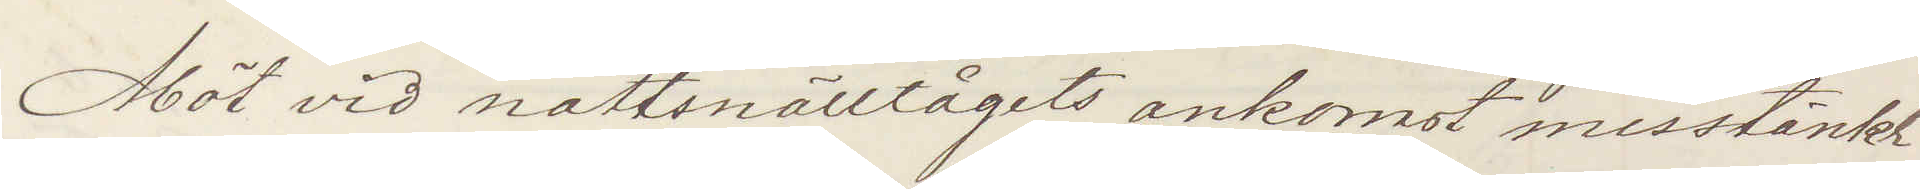Möt vid nattsnälltågets ankomst misstänkt
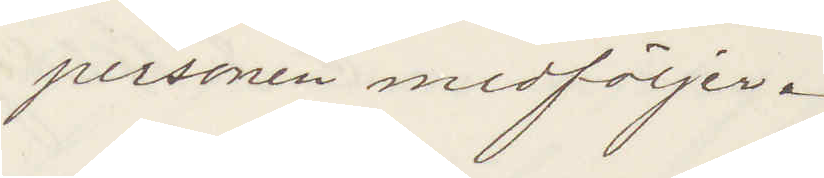personen medföljer.
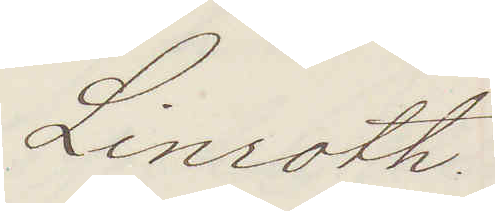Linroth
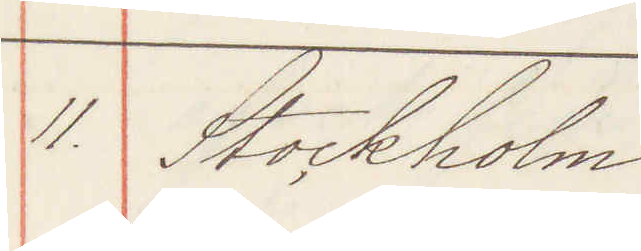11. Stockholm
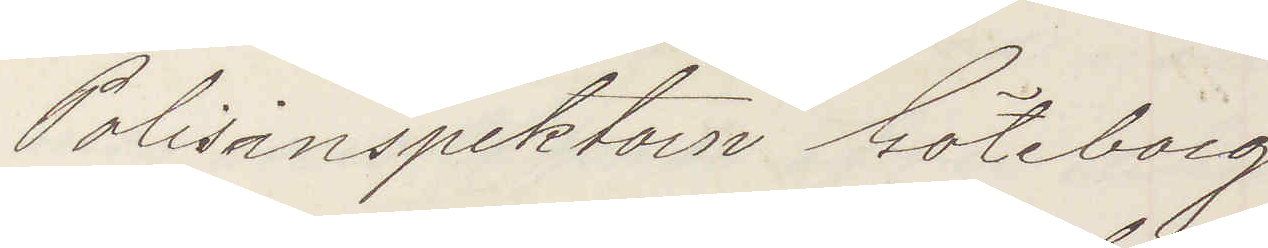Polisinspektorn Göteborg
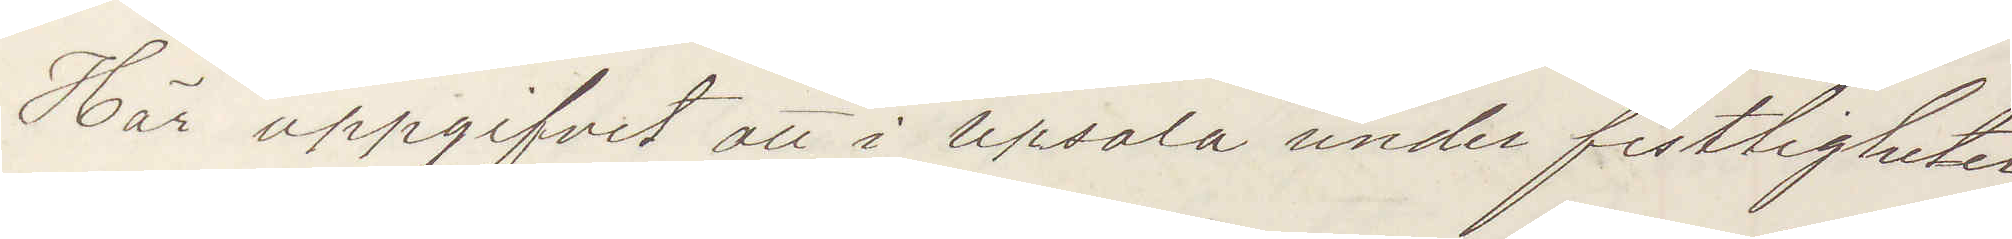Här uppgifvit att i Upsala under festligheter¬
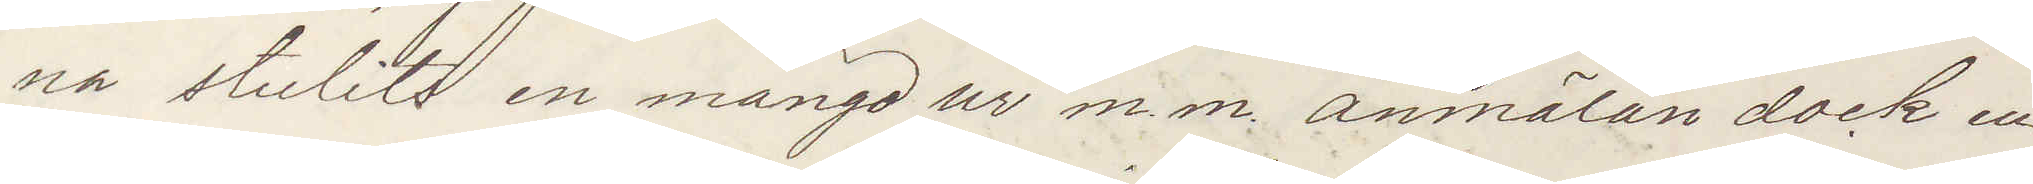na stulits en mängd ur m. m. anmälan dock en¬
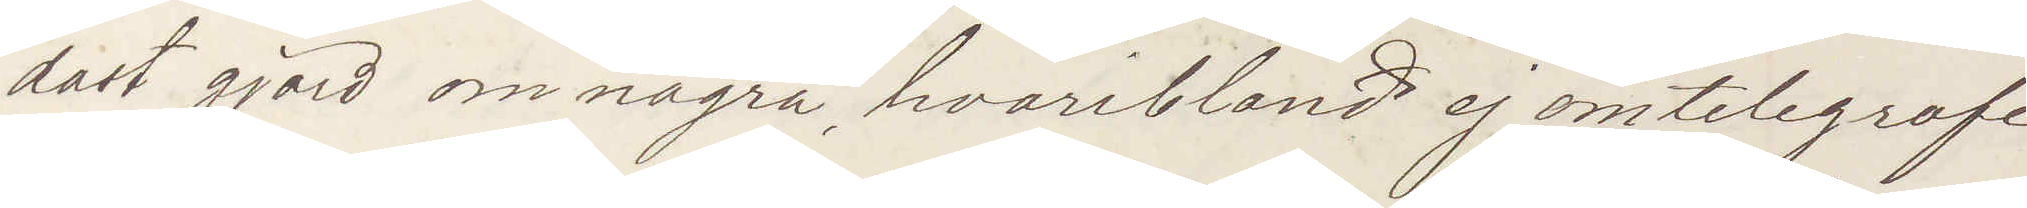dast gjord om några, hvaribland ej omtelegrafe¬
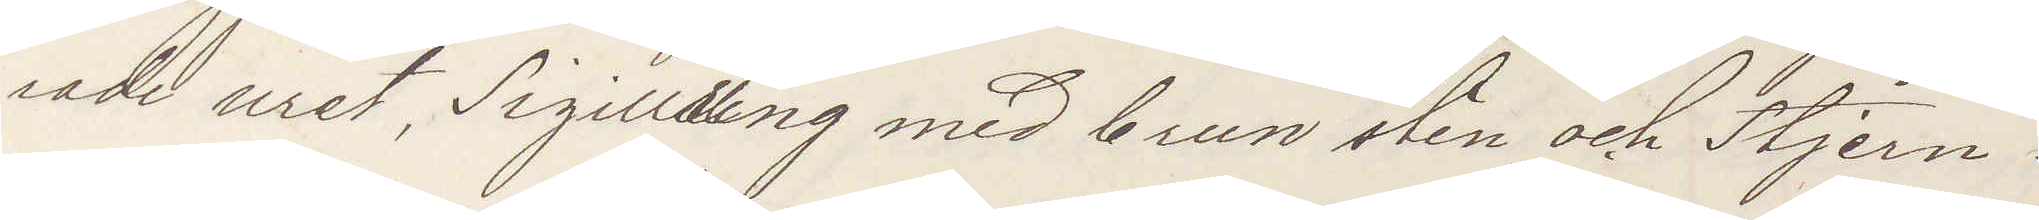rade uret, Sigillring med brun sten och Stjern¬
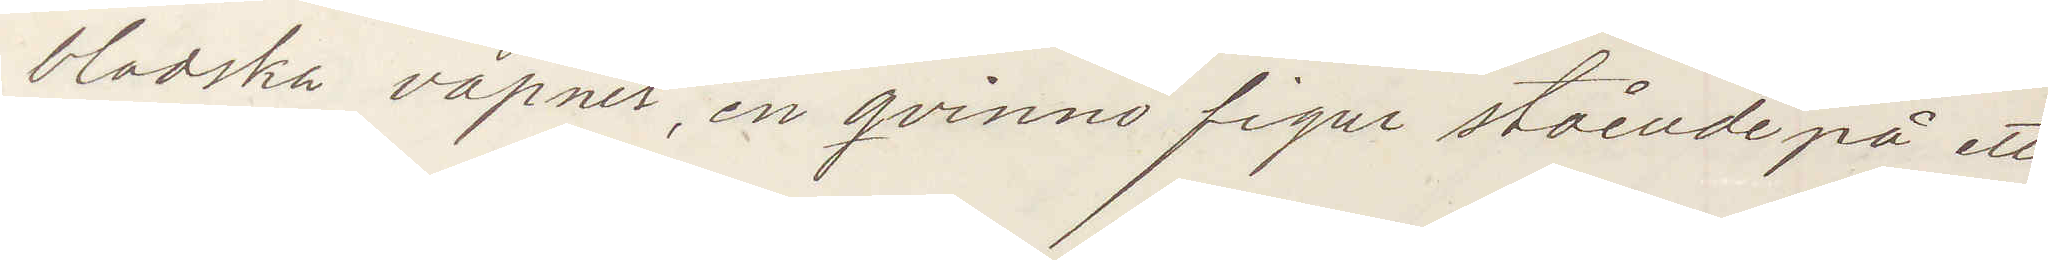bladska vapnet, en qvinno figur stående på ett
